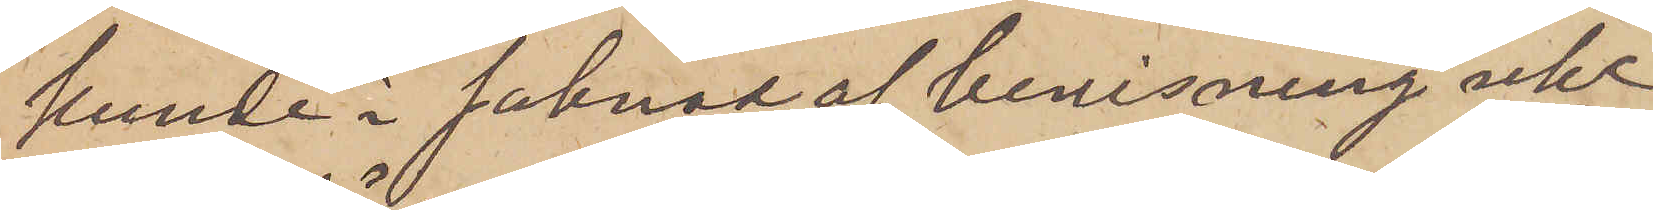kunde i saknad af bevisning icke
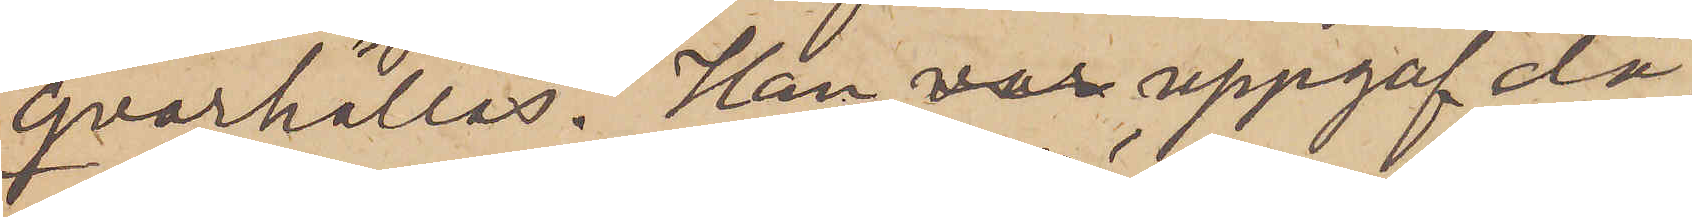qvarhållas. Han var uppgaf då,
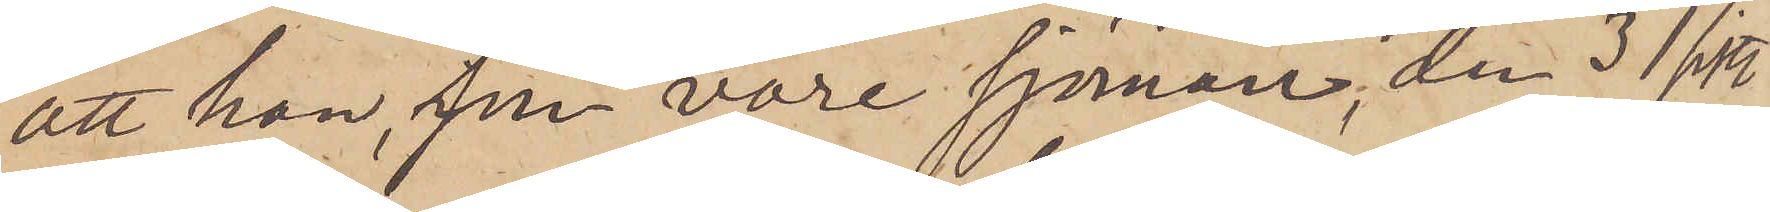att han, som vore sjöman, den 31 sistl.
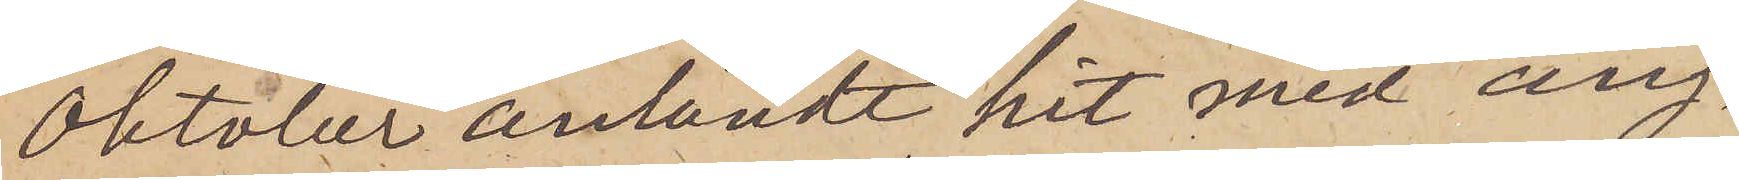Oktober anländt hit med ång¬
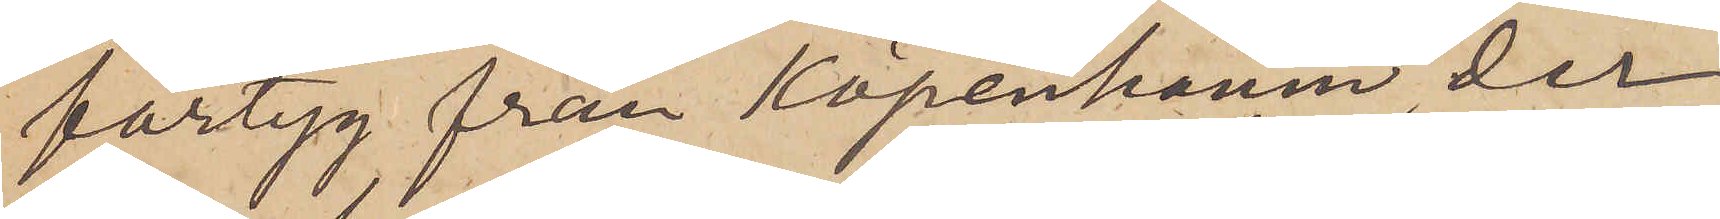fartyg från Köpenhamn, der
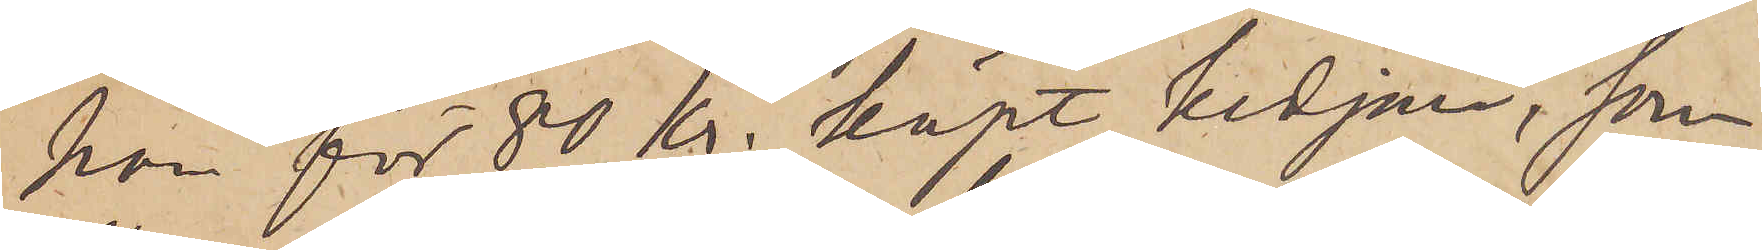han för 80 kr. köpt kedjan, som
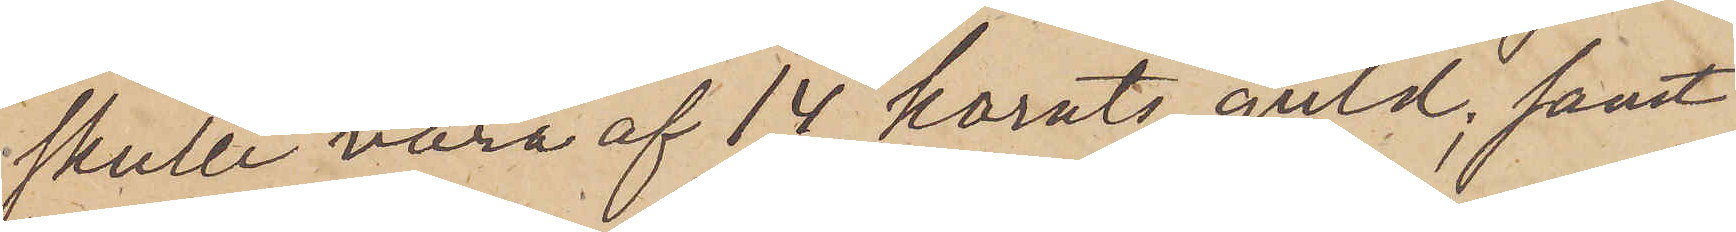skulle vara af 14 karats guld; samt
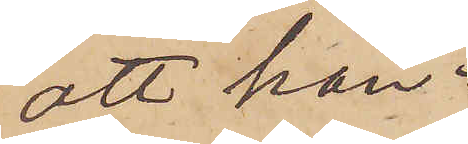att han
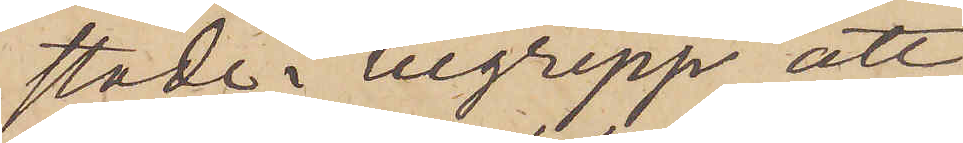stode i tillgrepp att
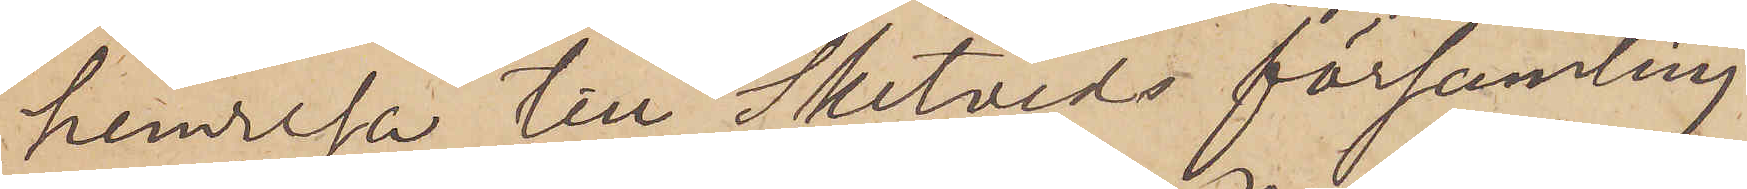hemresa till Sketveds församling.
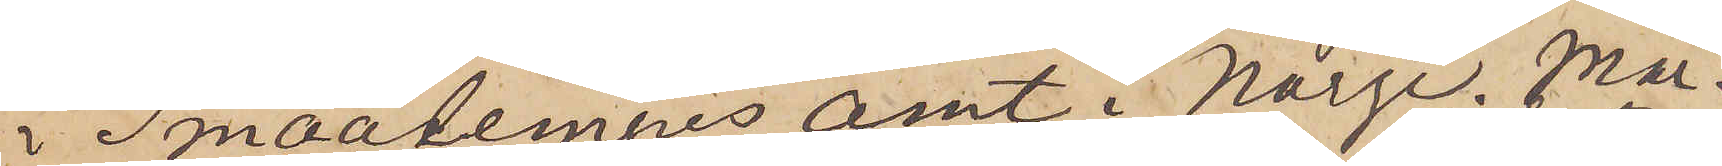i Smaatemnes Amt i Norge. Mar¬
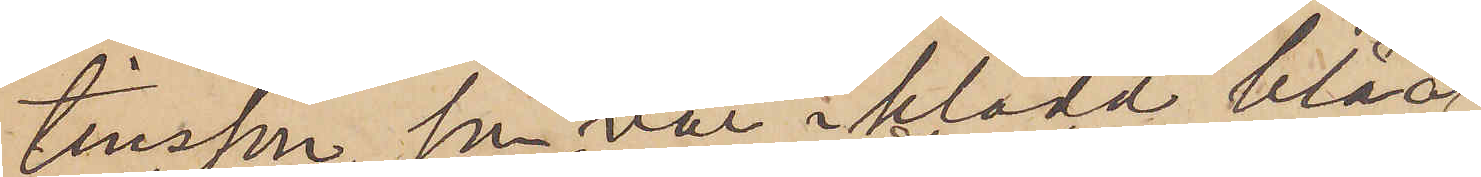tinsson, som var i klädd blåa
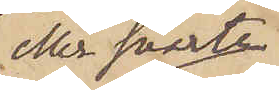eller svarta
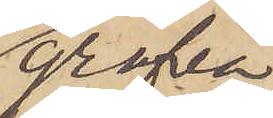grofva
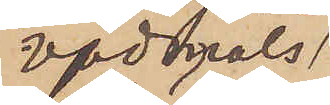vadmals¬
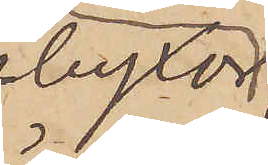byxor
